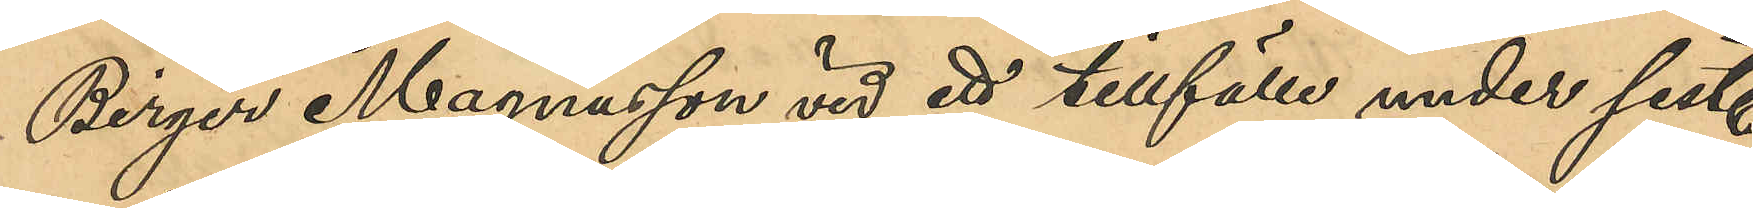Birger Magnusson vid ett tillfälle under sist.
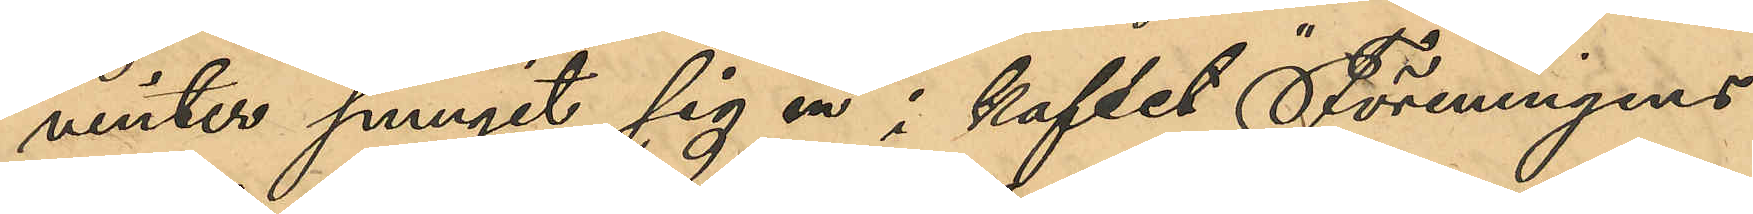vinter sprungit sig in i kaféet "Föreningens"
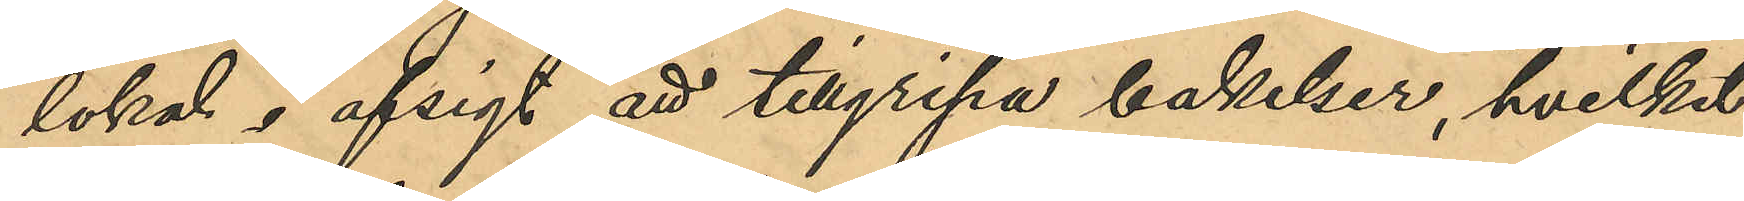lokal i afsigt att tillgripa bakelser, hvilket
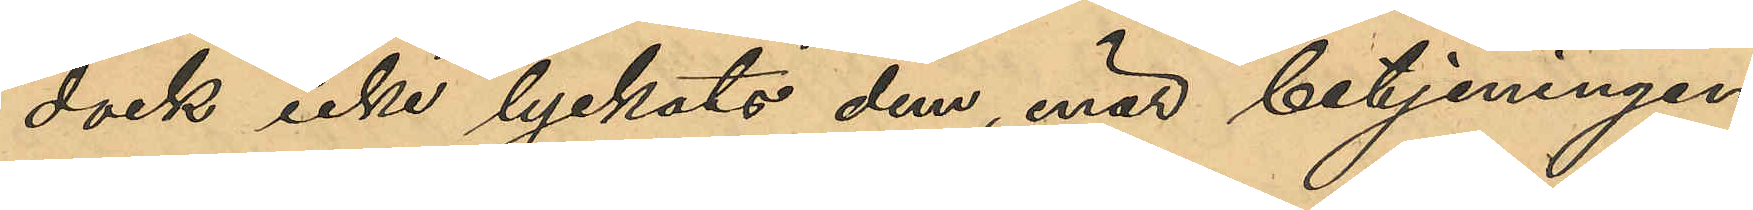dock icke lyckats dem, enär betjeningen
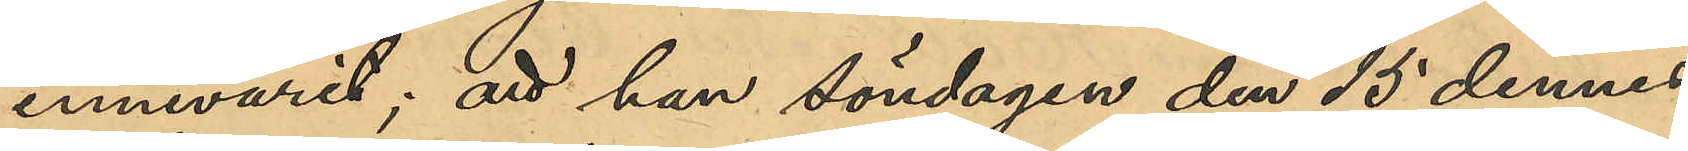innevarit; att han söndagen den 15 dennes
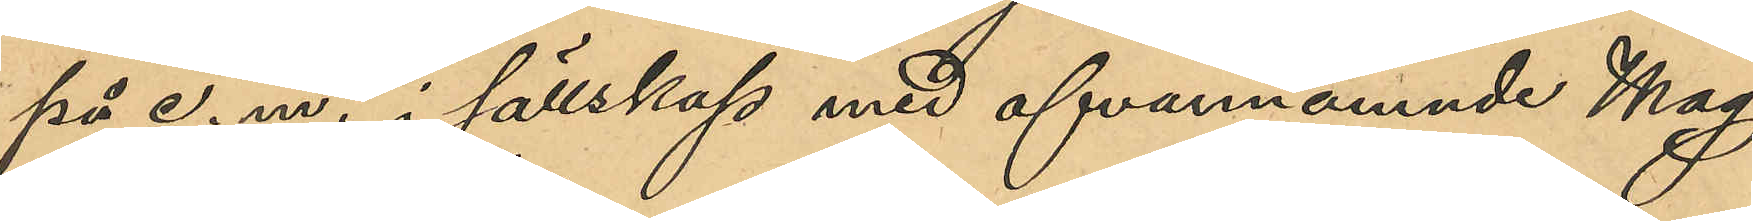på e. m. i sällskap med ofvannämnde Mag¬
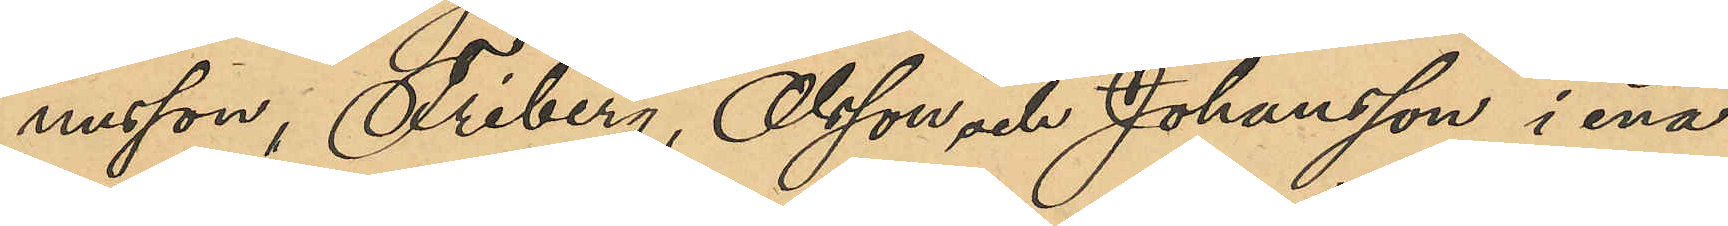nusson, Friberg, Olsson och Johansson i ena¬
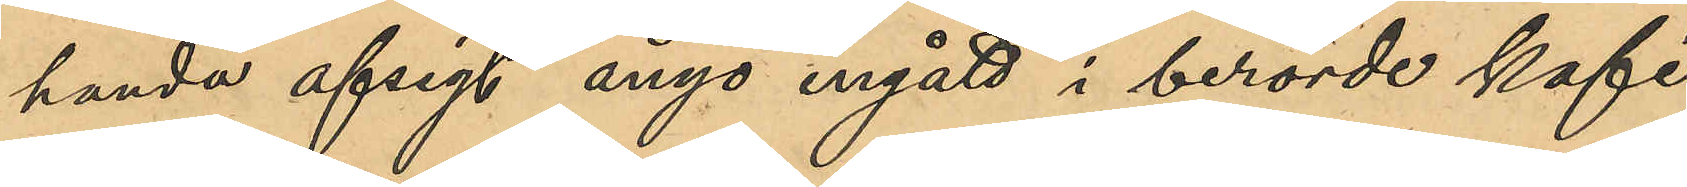handa afsigt ånyo ingått i berörde kafé,
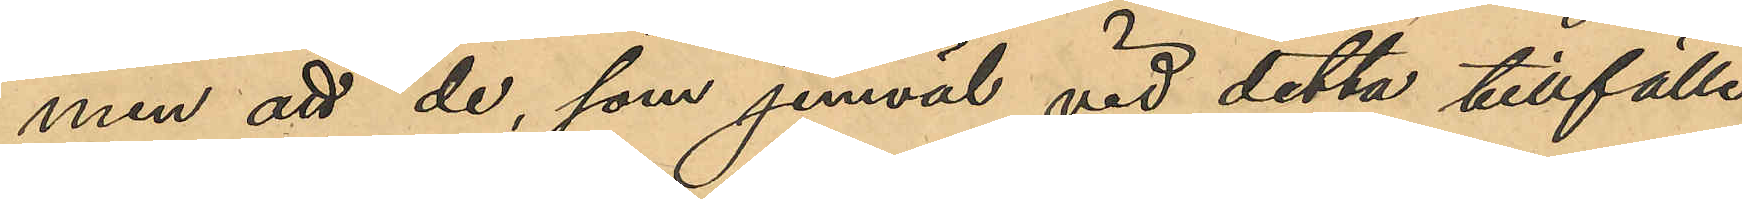men att de, som jemväl vid detta tillfälle
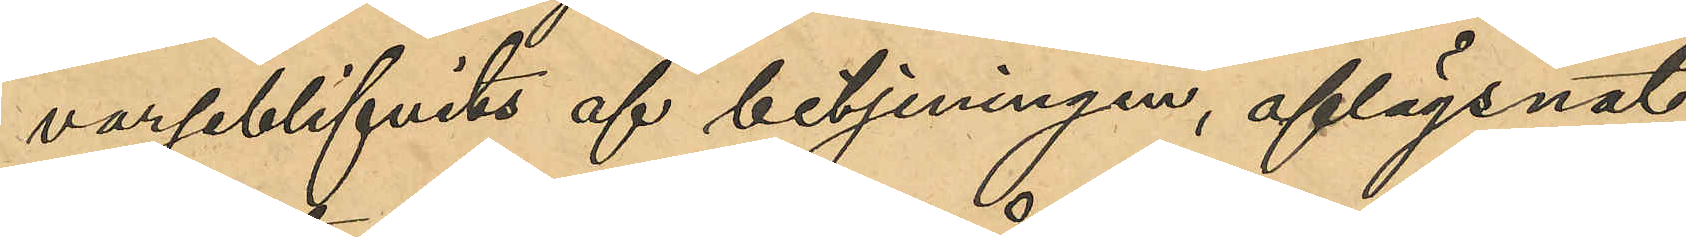varseblifvits af betjeningen, aflägsnat
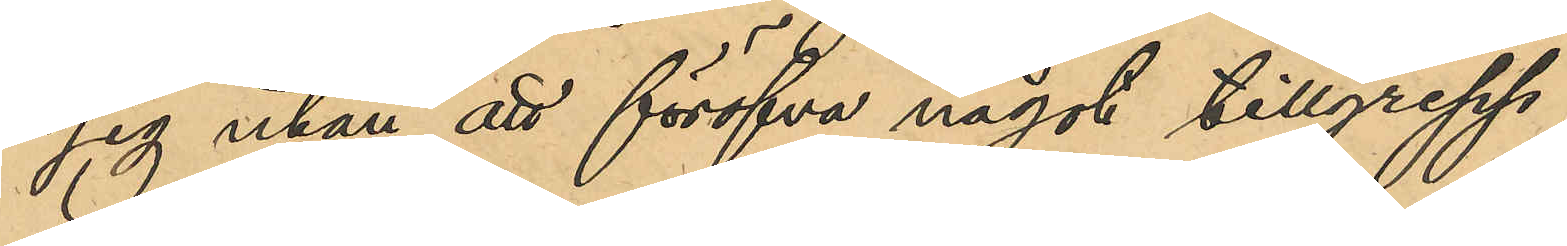sig utan att försöka något tillgrepp;
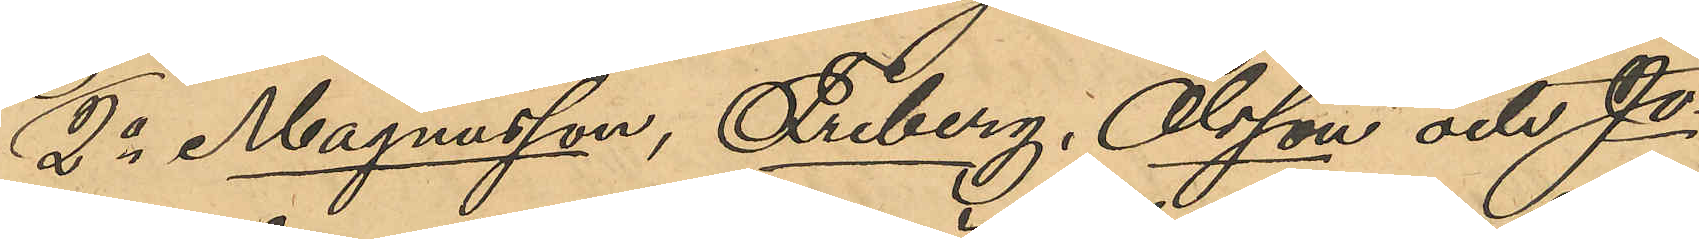2o Magnusson, Friberg, Olsson och Jo¬
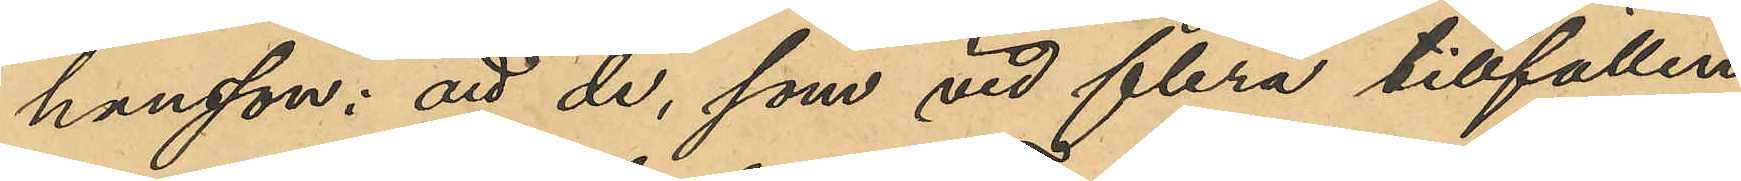hansson: att de, som flera tillfällen
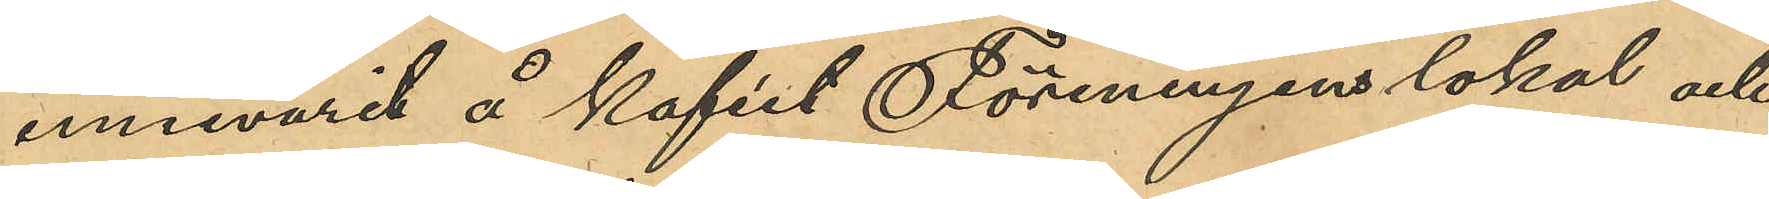innevarit å kaféet Föreningens lokal och
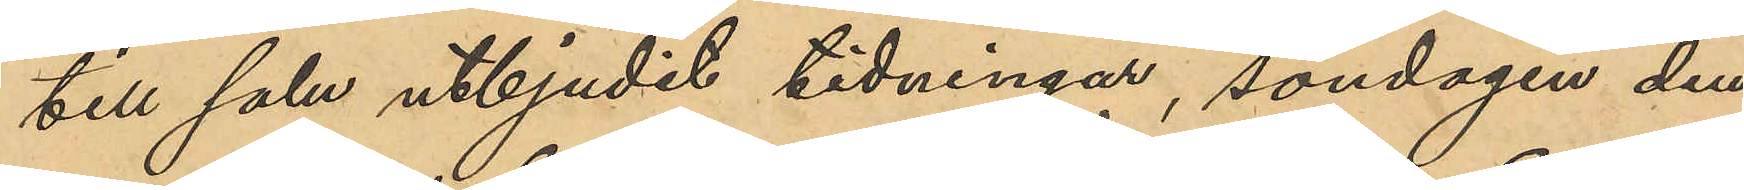till salu utbjudit tidningar, söndagen den
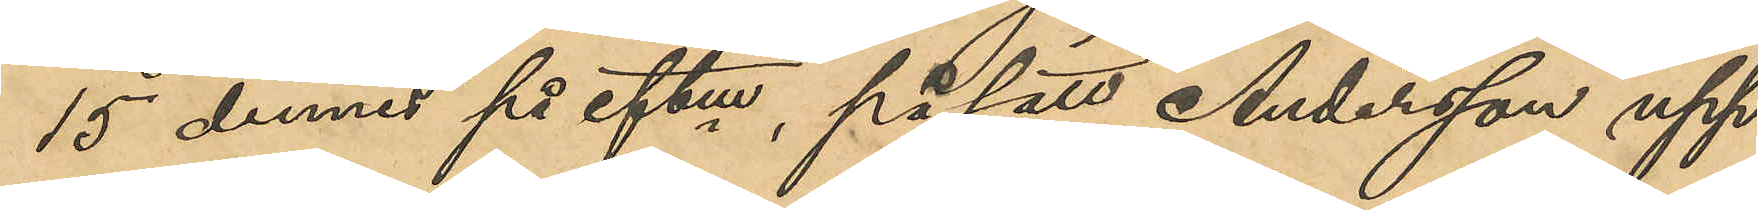15 dennes på eftm, på sätt Andersson upp¬
